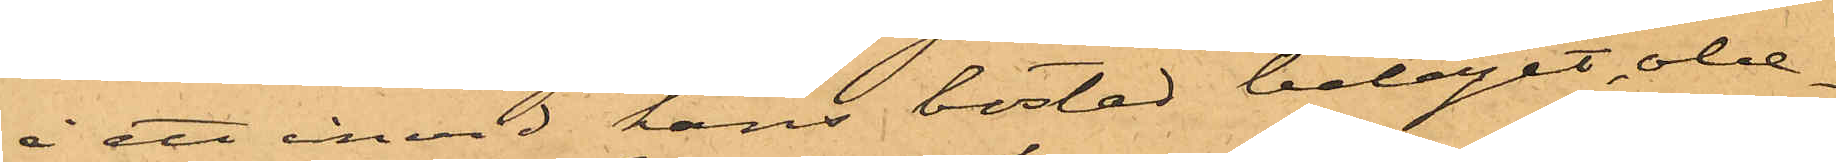å ett invid hans bostad beläget obe¬
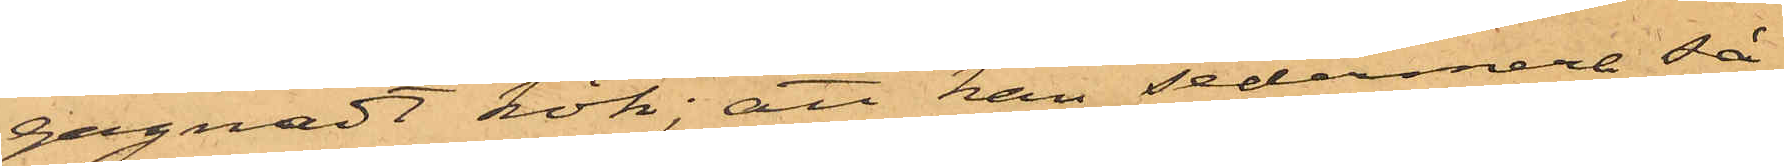gagnadt kök; att han sedermera så
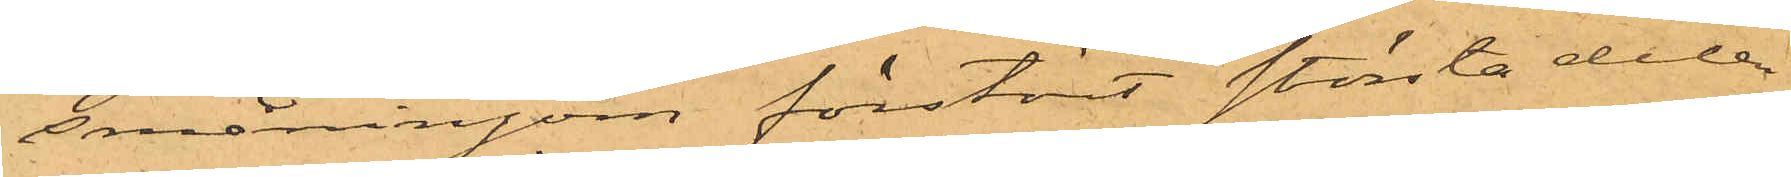småningom förstört största delen
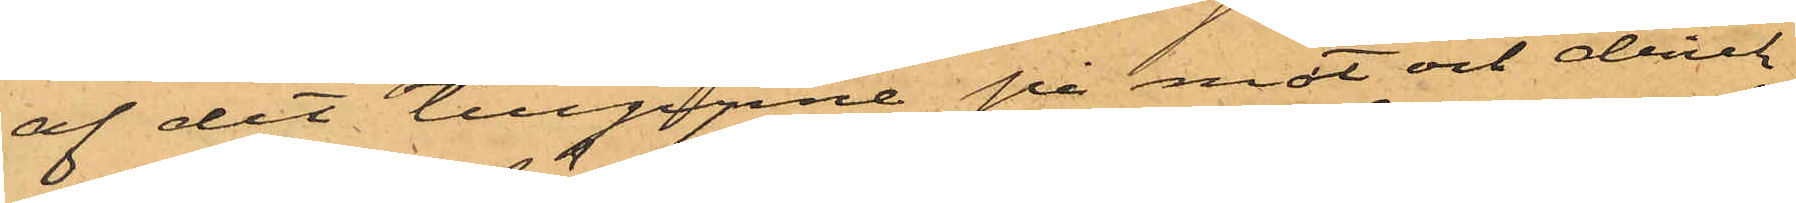af det tillgripne på mat och drick
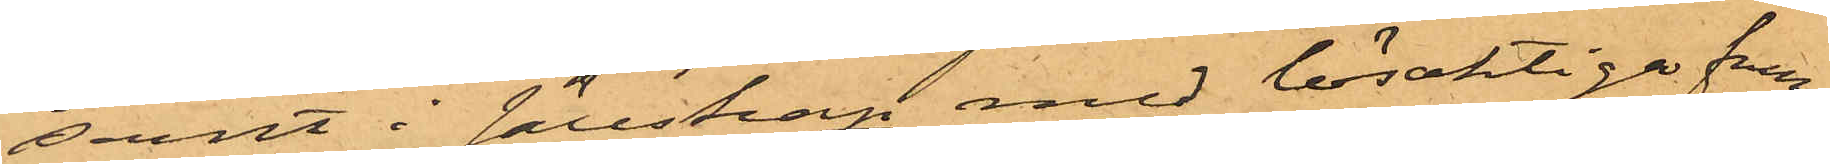samt i sällskap med lösaktiga frun¬
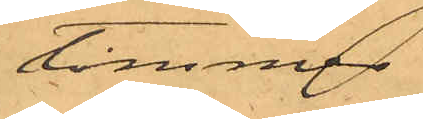timmer
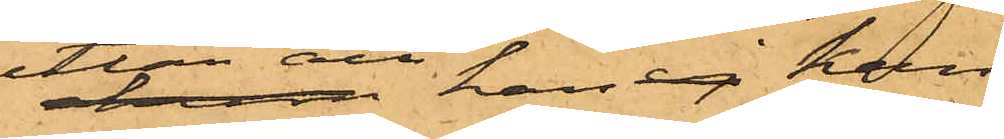utan att han ej kan
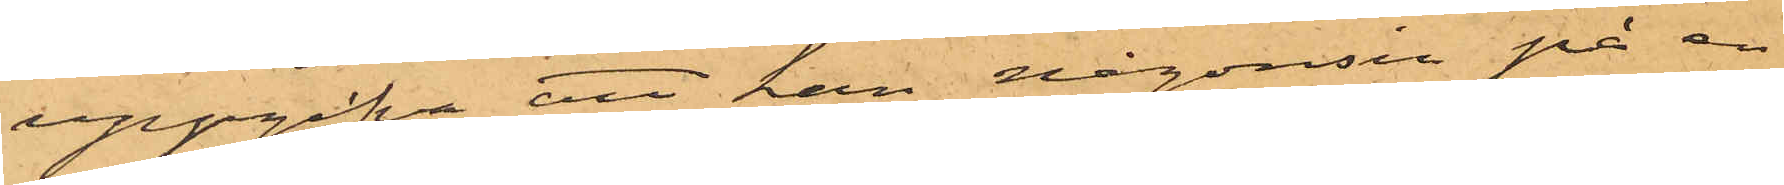uppgifva att han någonsin på en
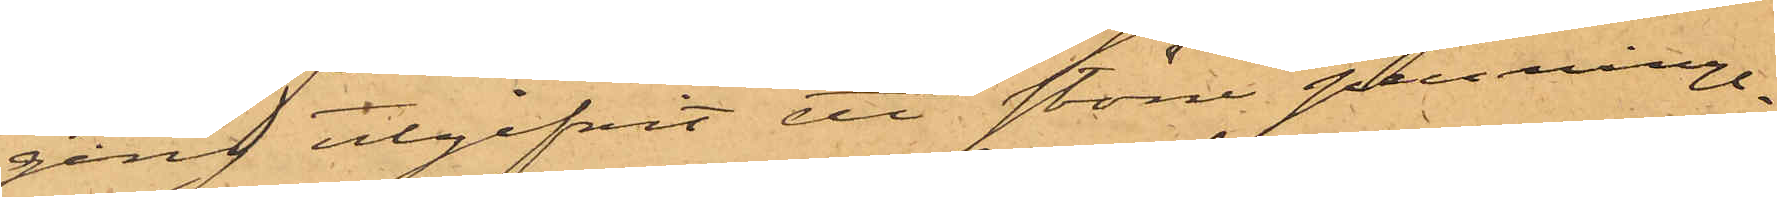gång utgifvit ett större penninge¬
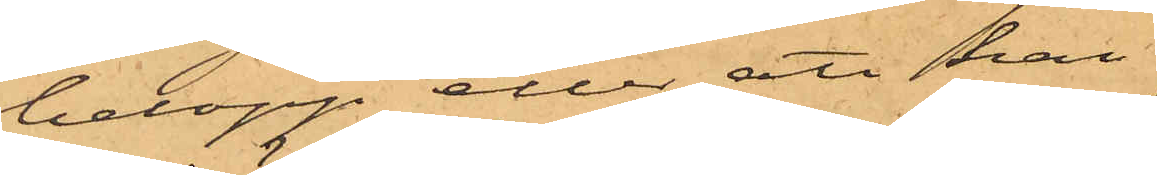belopp eller att han
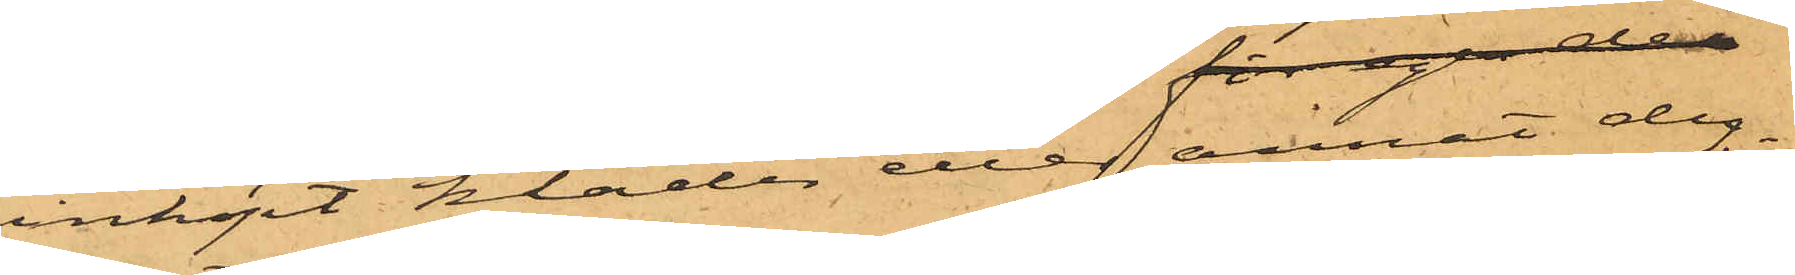inköpt kläder eller annat dy¬
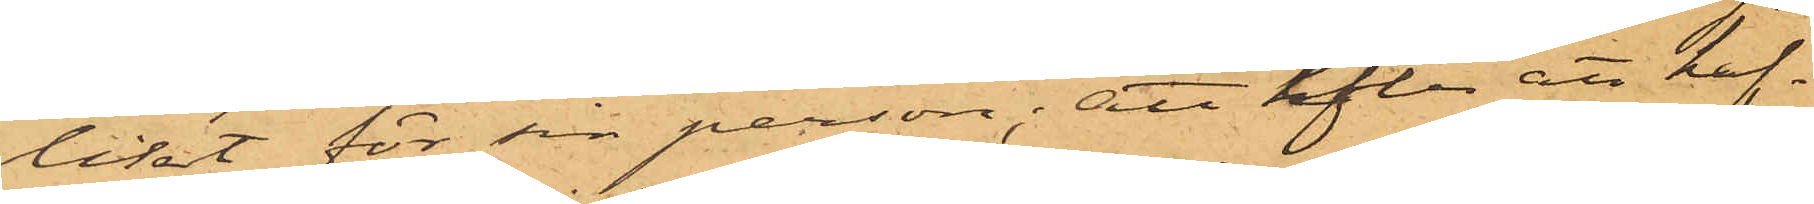likt för sin person; att efter att haf¬
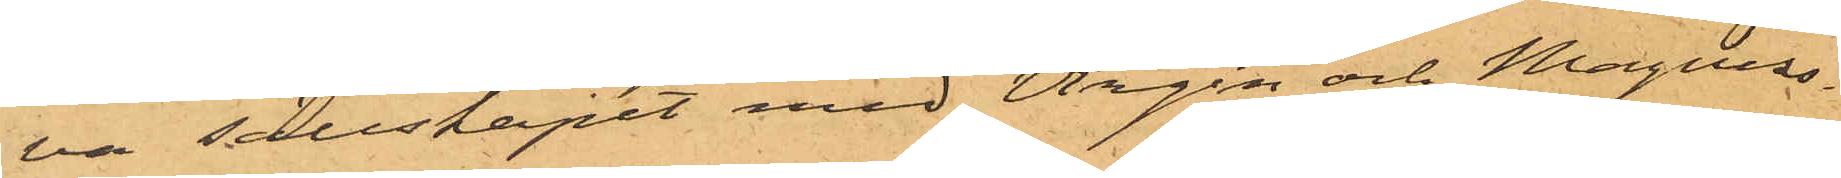va sällskapet med Wirgin och Magnus¬
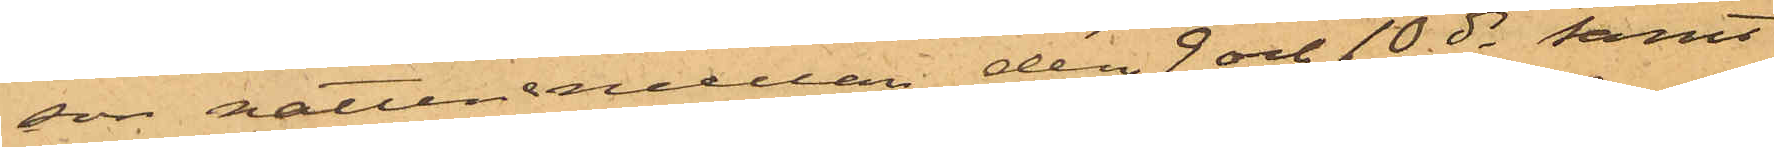son natten mellan den 9 och 10 ds samt
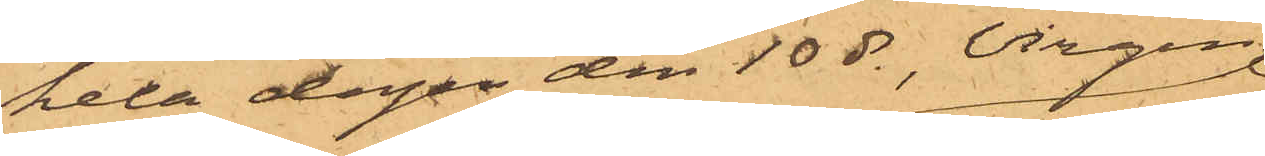hela dagen den 10 ds, Virgin
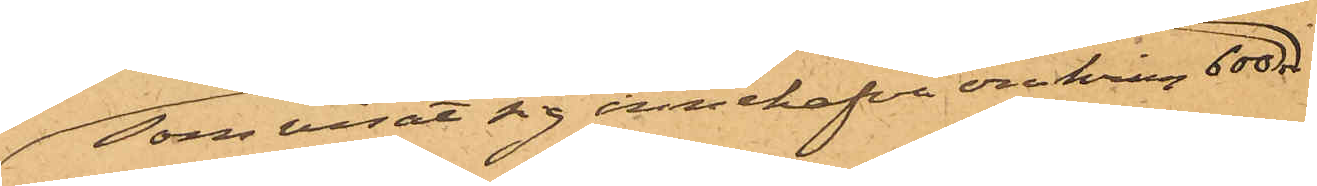som visat sig innehafva omkring 600 r
